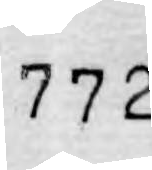772
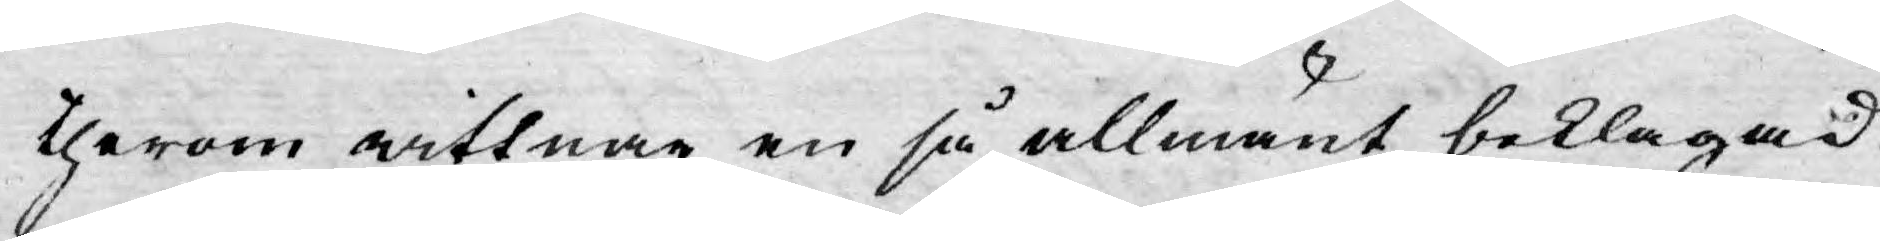therom wittnar en så allmänt beklagad
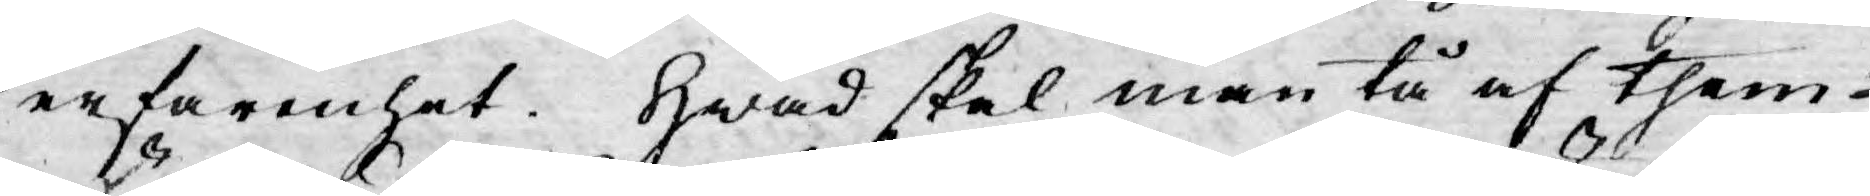erfarenhet. Hwad skal man tå af them
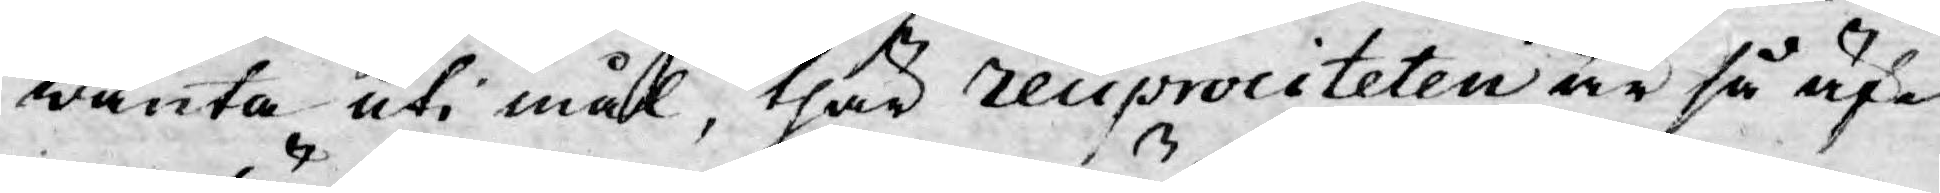wänta uti mål, thär reciprociteten är så äf¬
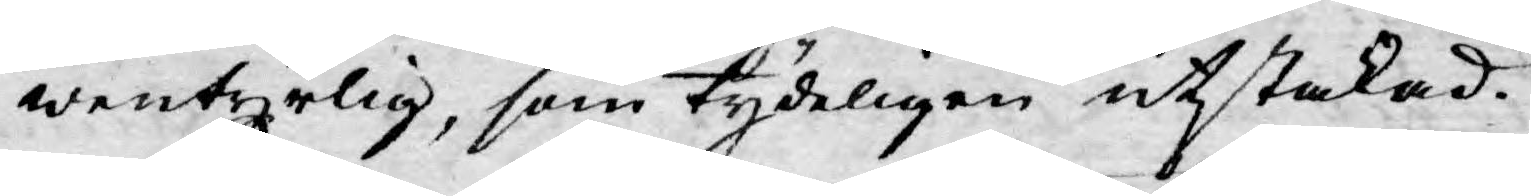wentyrlig, som tydeligen utstakad?
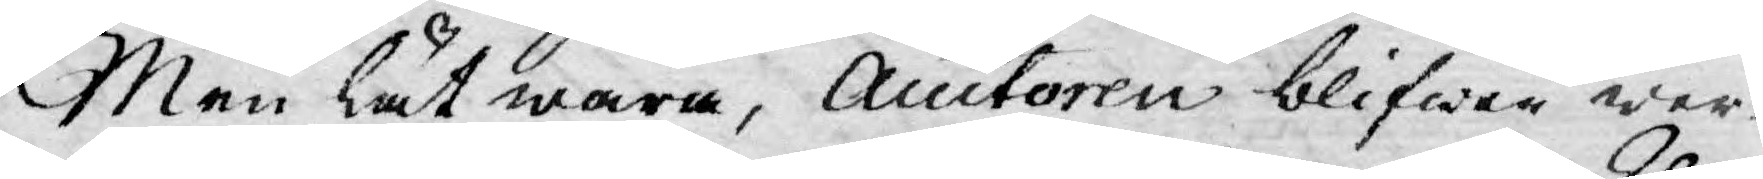Men lät wara, Auctoren blifwer wer¬
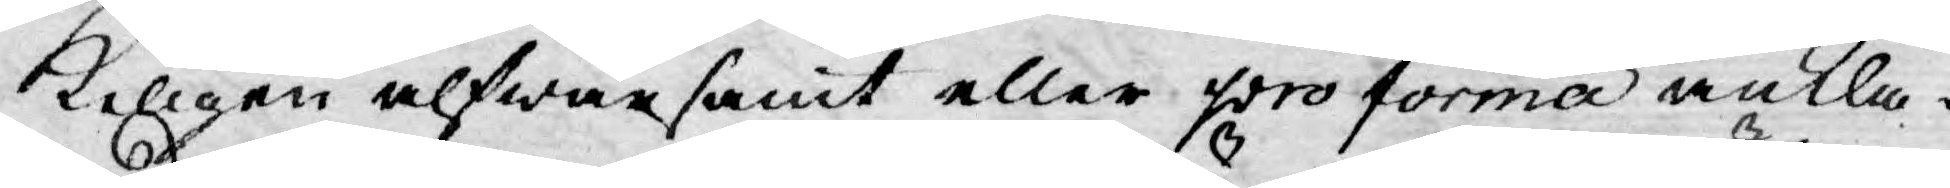keligen alfwarsamt eller pro forma ankla¬
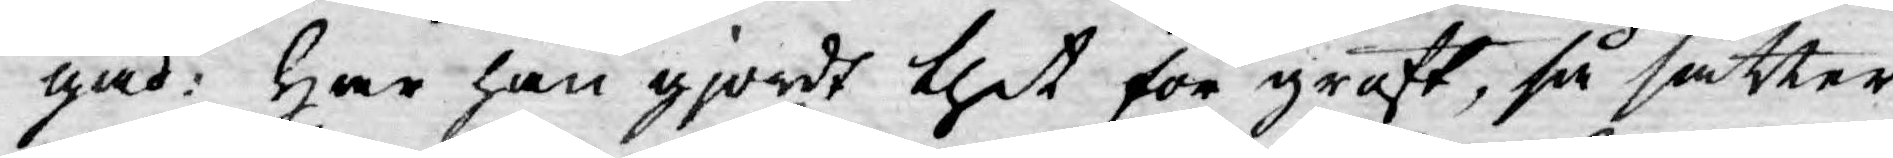gad: Har han gjordt thet för groft, så sätter
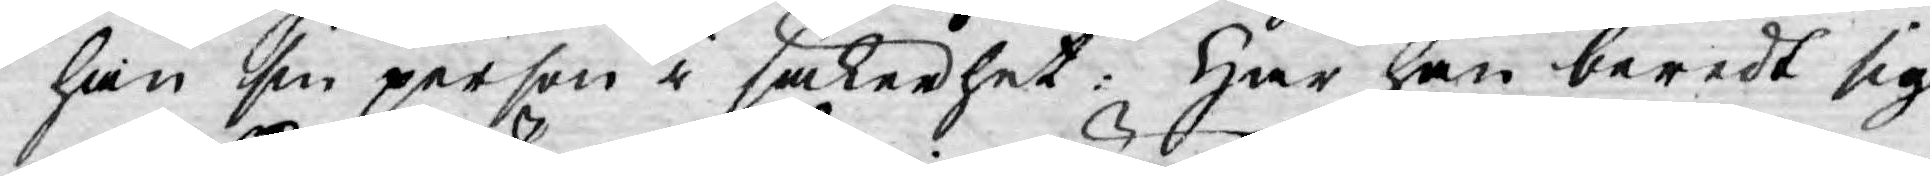han sin person i säkerhet: Har han beredt sig
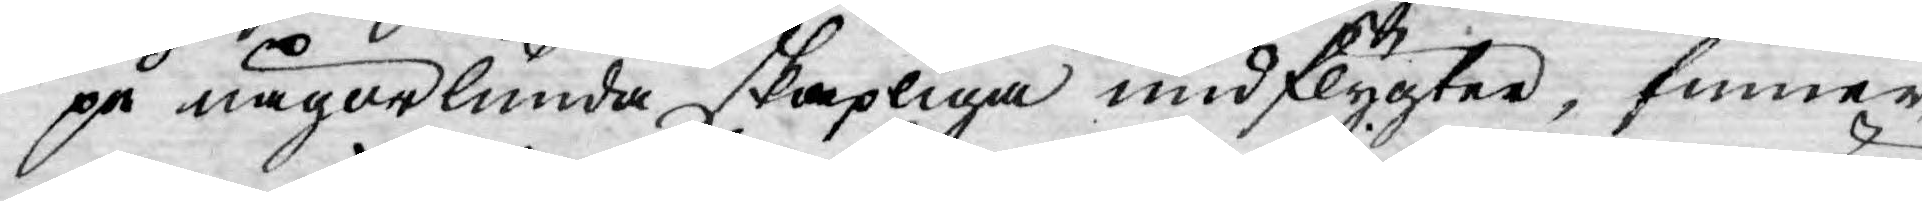på någorlunda skapliga undflygter, finner
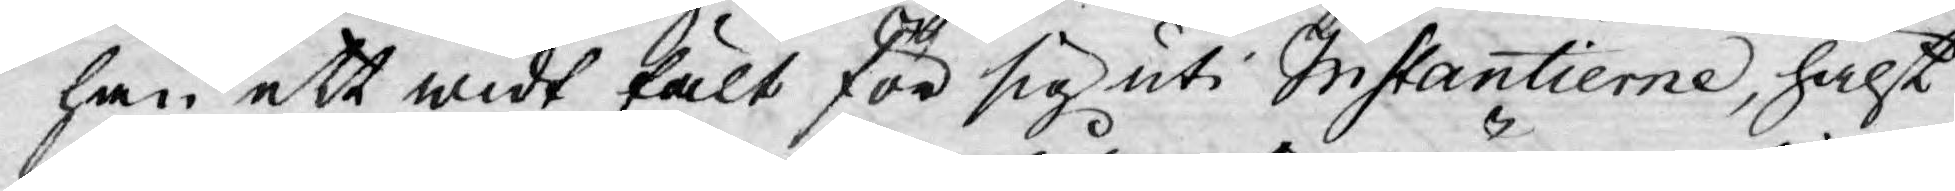han ett widt fält för sig uti Instantierne, hälst
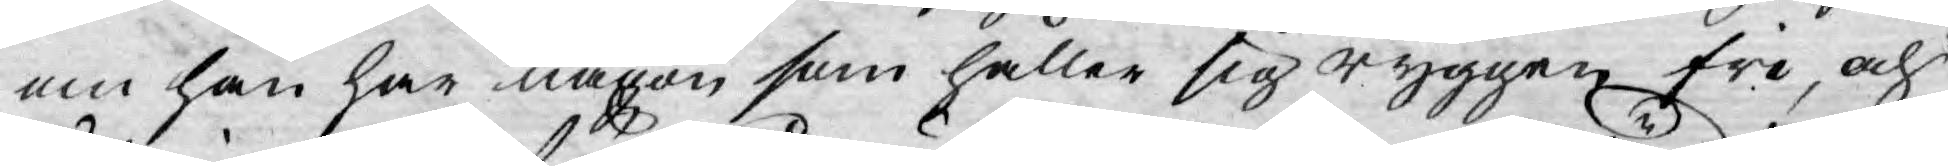om han har någon som håller sig ryggen fri, och
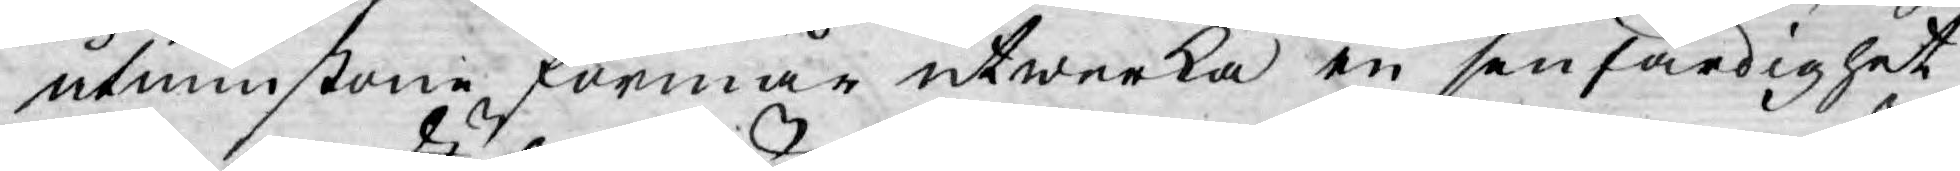åtminstone förmår utwerka en senfärdighet
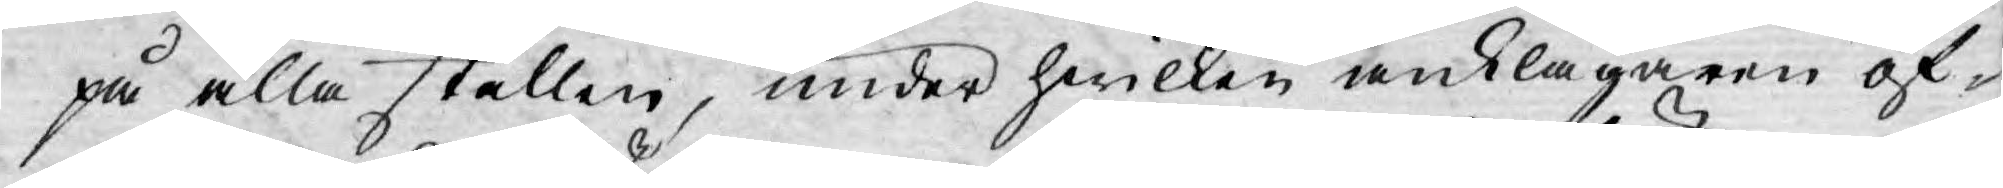på alla ställen, under hwilken anklagaren öf¬
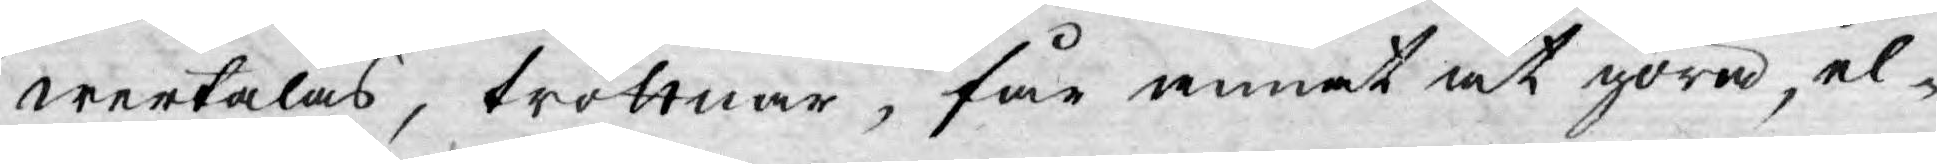wertalas, tröttnar, får annat at göra, el¬
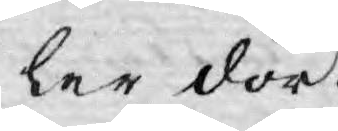ler dör.
